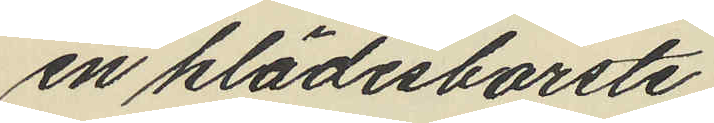en klädesborste
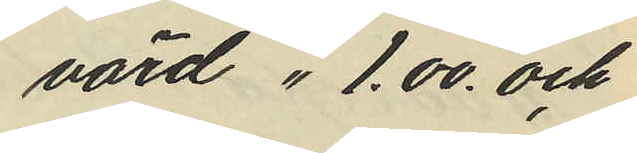värd " 1.00 och
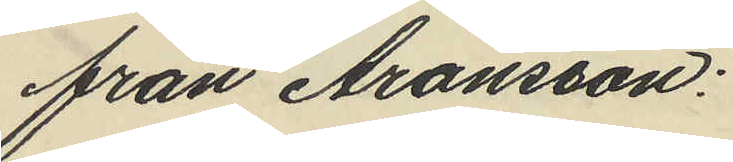från Aronsson:
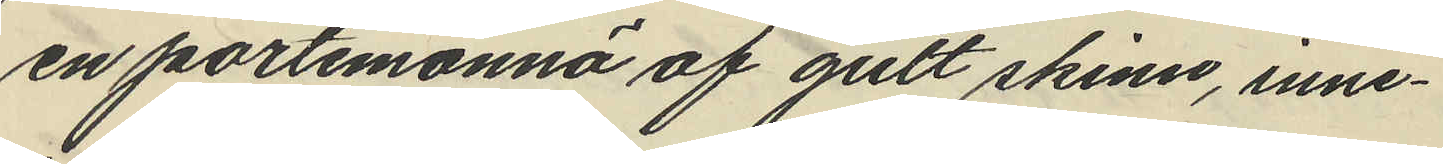en portemonnä af gult skinn, inne¬
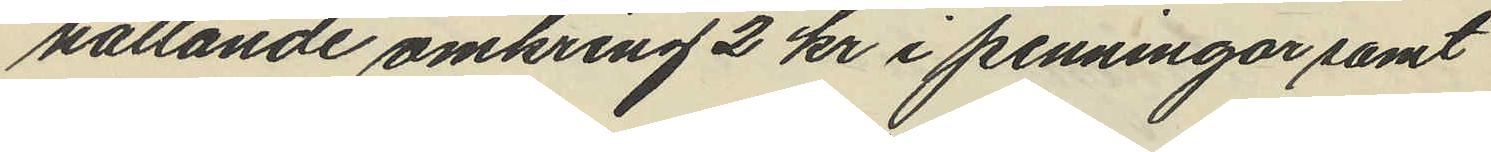hållande omkring 2 kr i penningar samt
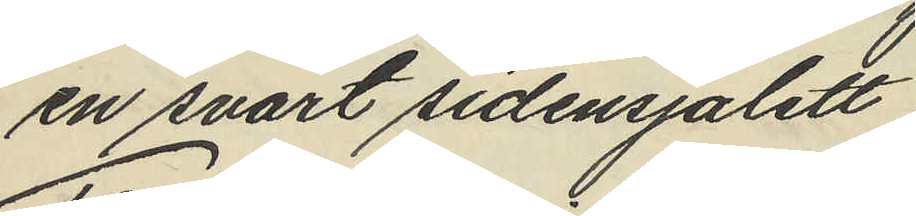en svart sidensjalett
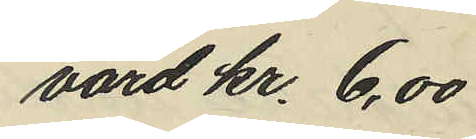värd kr. 6,00
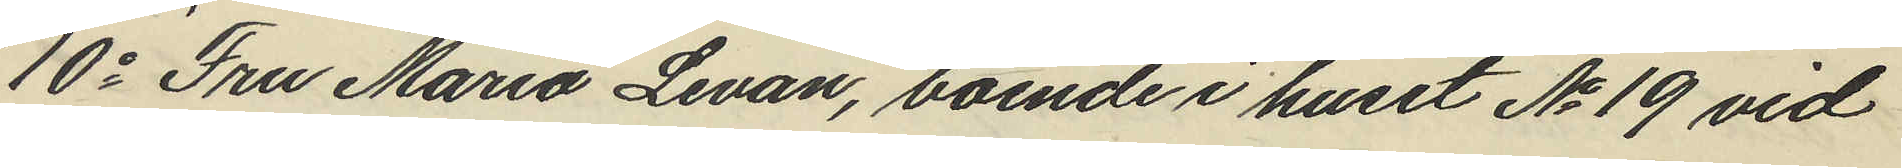10o Fru Maria Levan, boende i huset No 19 vid
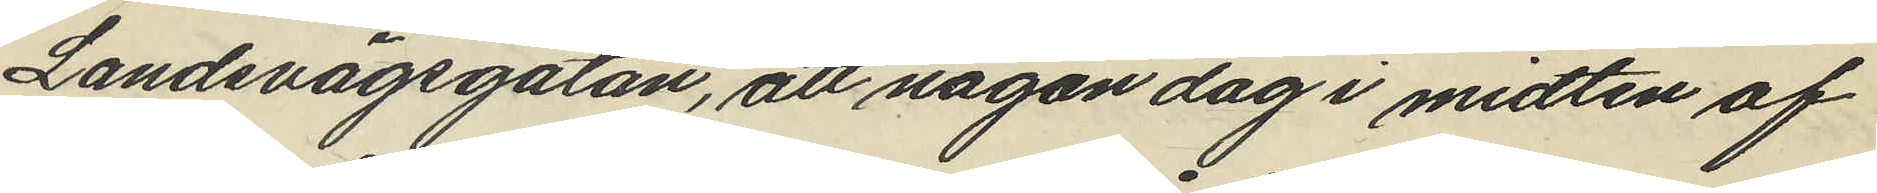Landsvägsgatan, att någon dag i midten af
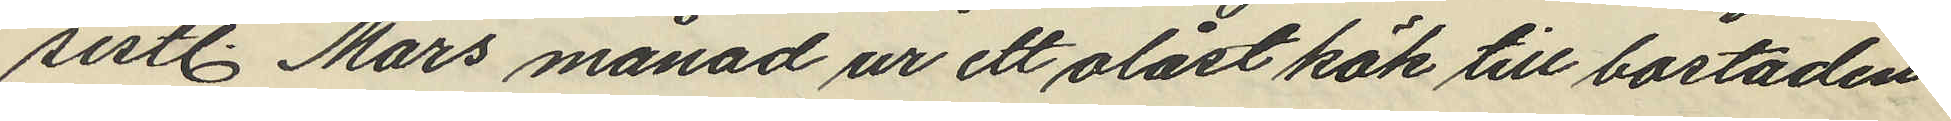sistl. Mars månad ur ett olåst kök till bostaden
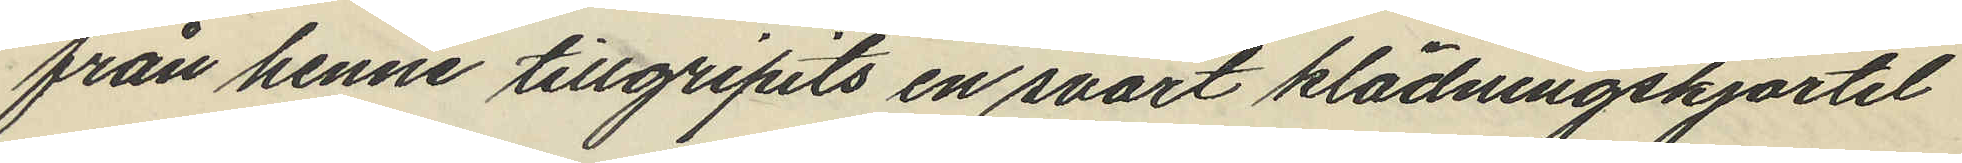från henne tillgripits en svart klädningskjortel
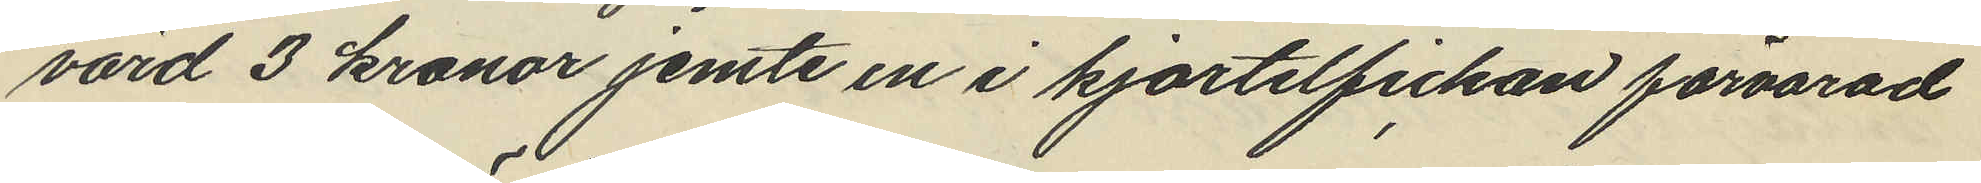värd 3 kronor jemte en i kjortelfickan förvarad
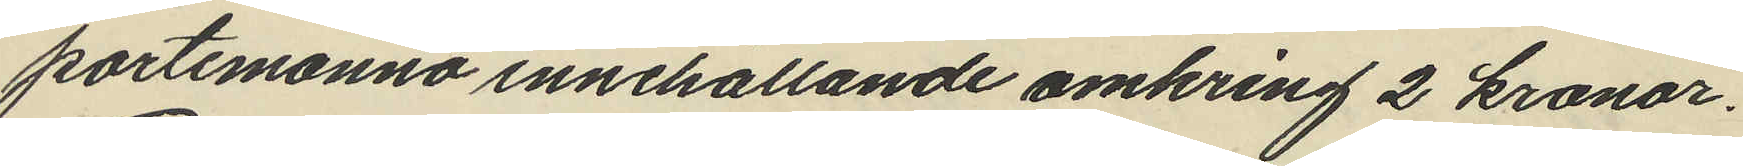portemonnä innehållande omkring 2 kronor.
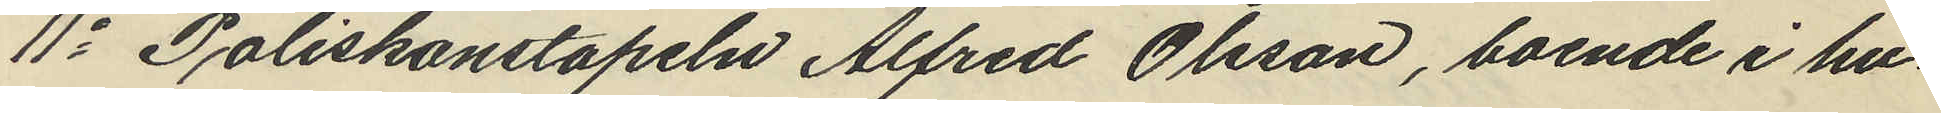11o Poliskonstapeln Alfred Olsson, boende i hu¬
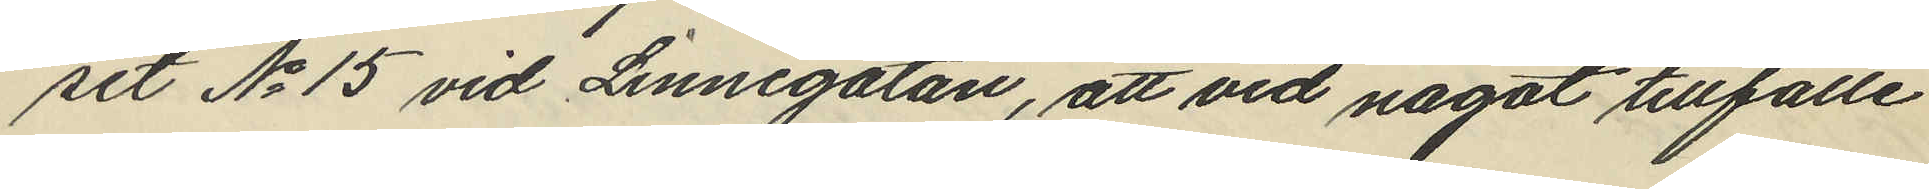set No 15 vid Linnégatan, att vid något tillfälle
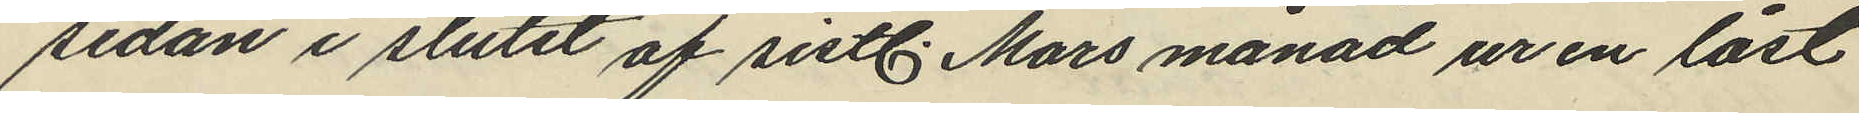sedan i slutet af sistl. Mars månad ur en låst
